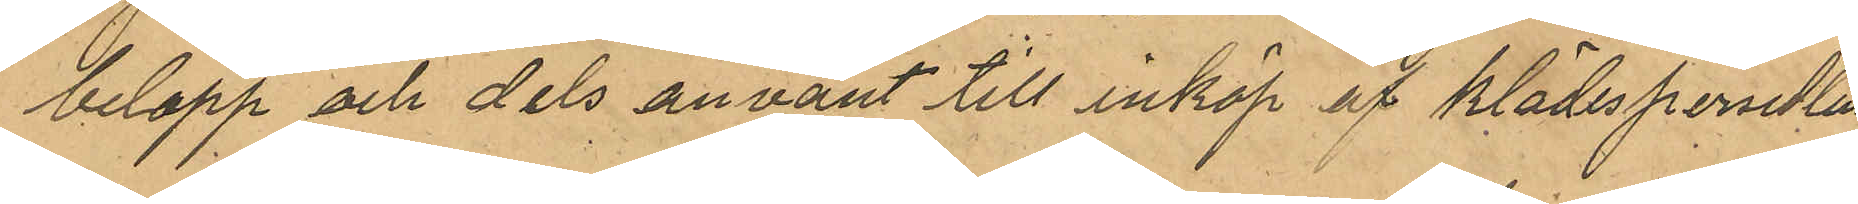belopp och dels använt till inköp av klädespersedlar
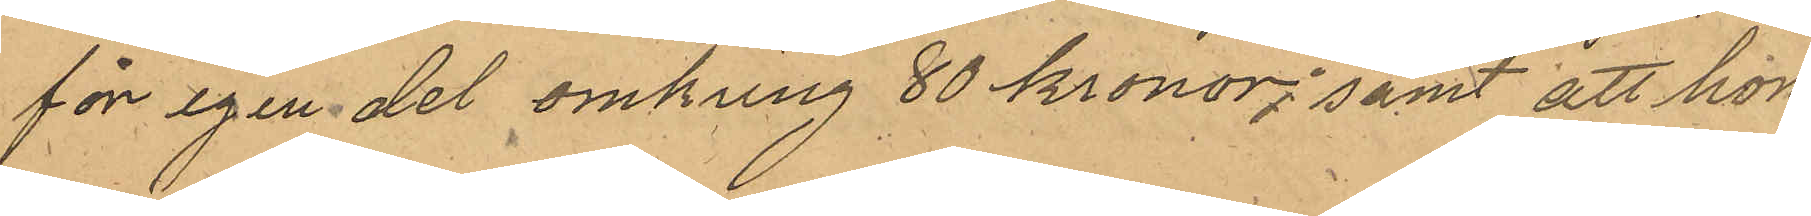för egen del omkring 80 kronor; samt att hon
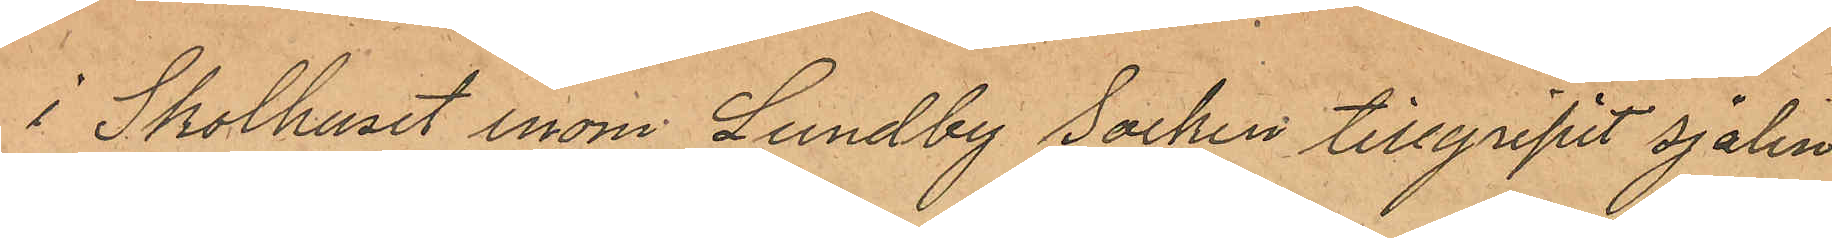i Skolhuset inom Lundby Socken tillgripit sjalen
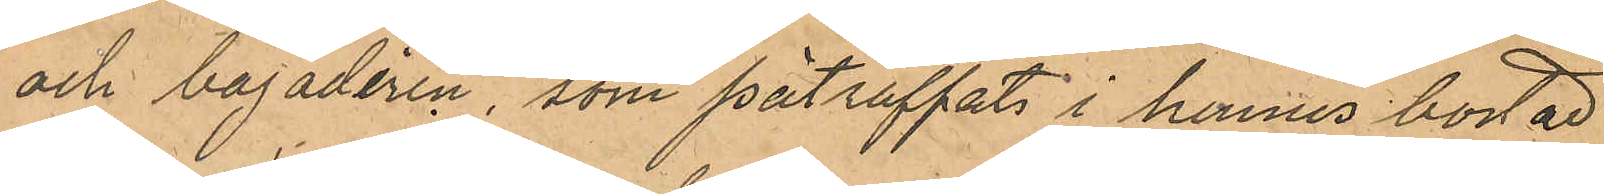och bajadèren som påtraffats i hennes bostad
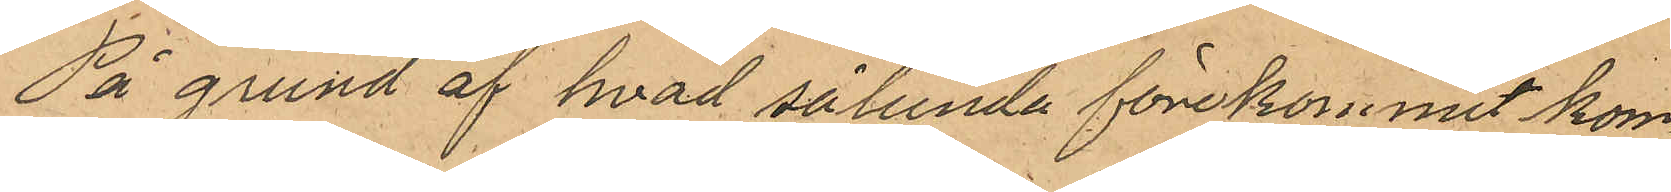På grund af hvad sålunda förekommit kom¬
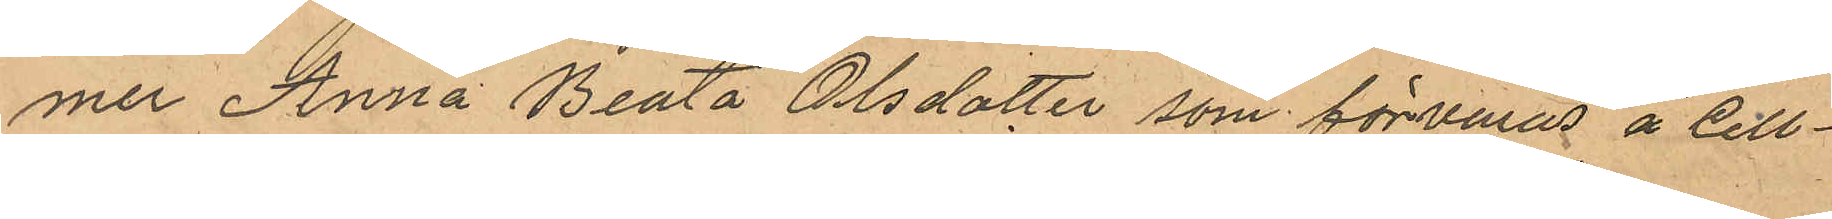mer Anna Beata Olsdotter som förvaras å Cell¬
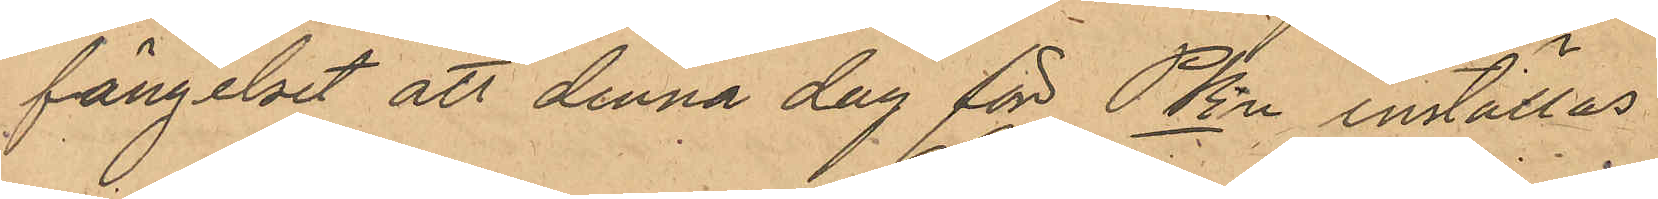fängelset att denna dag för PKn inställas
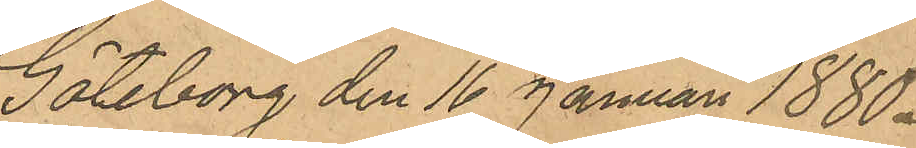Göteborg den 16 Januari 1880.
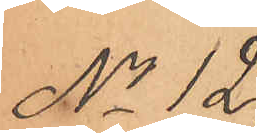No 12.
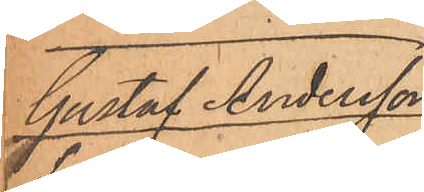Gustaf Andersson
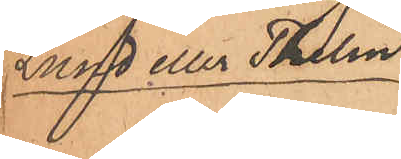Lund eller Thelin.
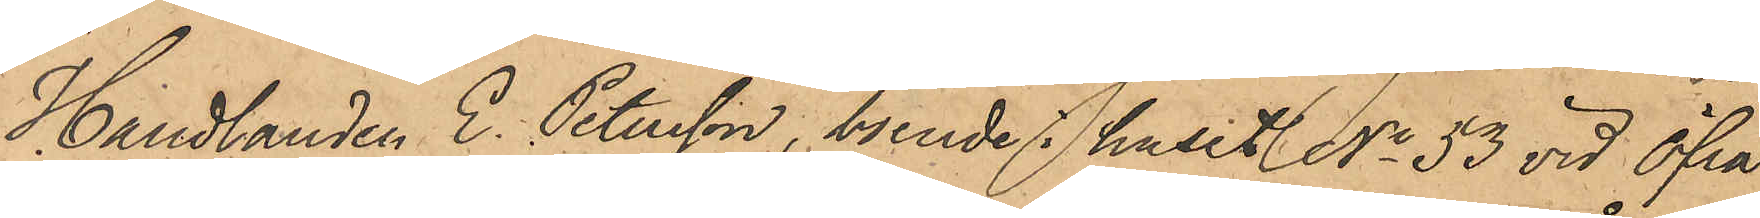Handlanden E. Petersson, boende i Huset No 53 vid Öfra
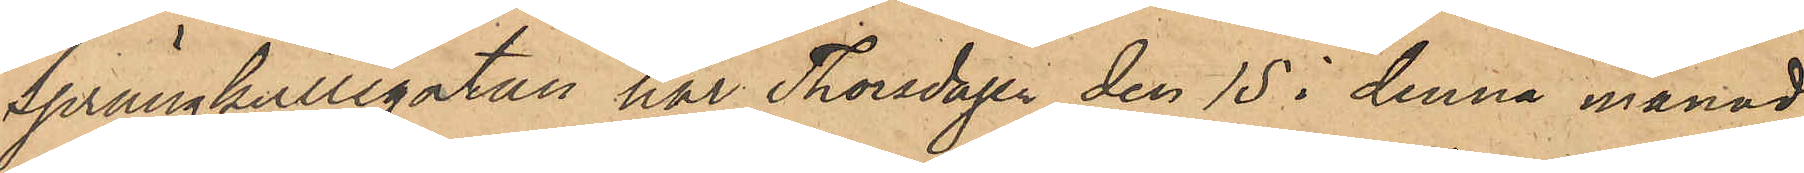Sprängkullegatan har Thorsdagen den 15 i denna månad
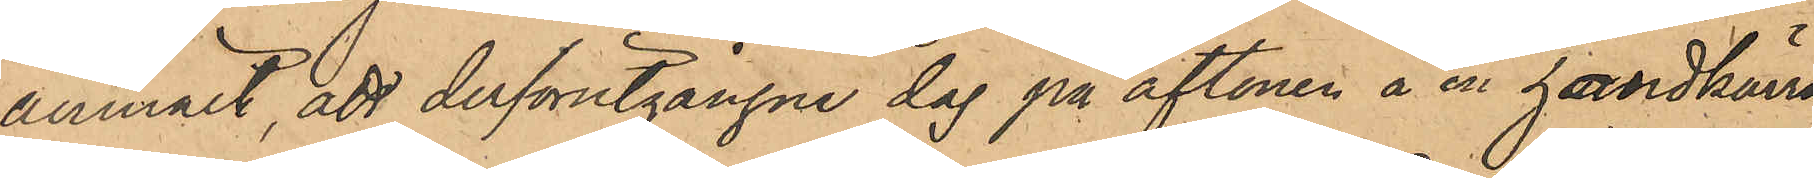anmält, att derförutgångne dag på aftonen å en handkärra,
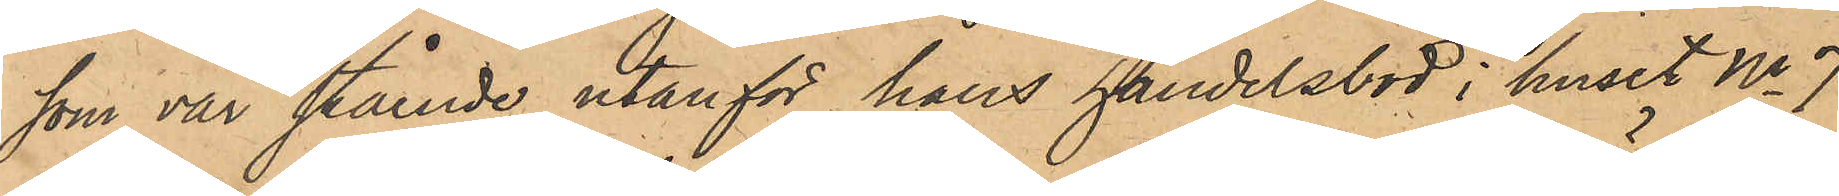som var stående utanför hans handelsbod i huset No 7
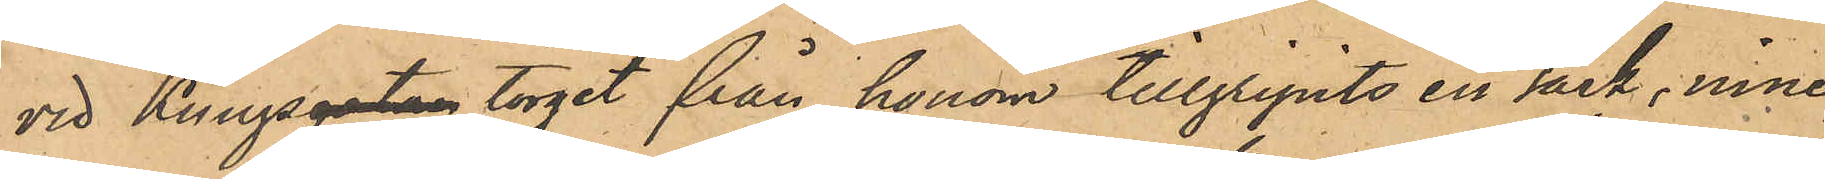vid Kungsgatan torget från honom tillgripits en säck, inne
